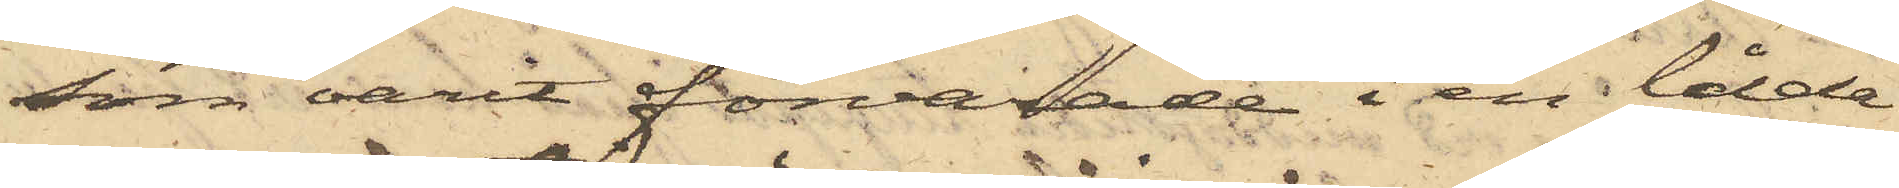som varit förvarade i en låda
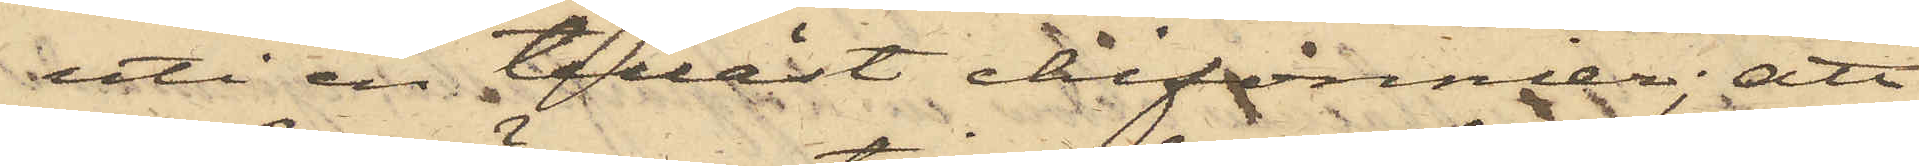uti en tillåst chifonnier; att
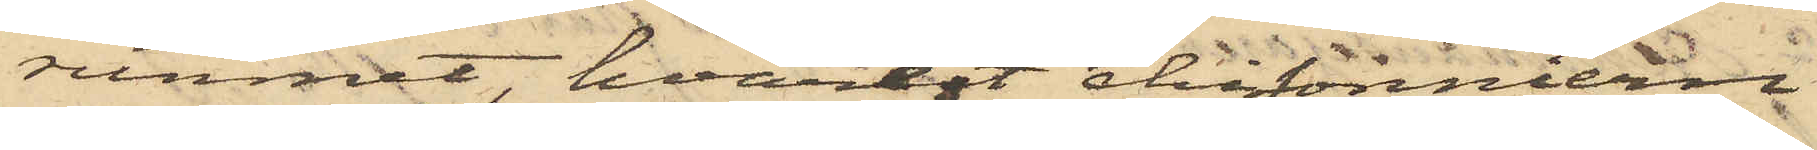rummet, hvarest chifonniern
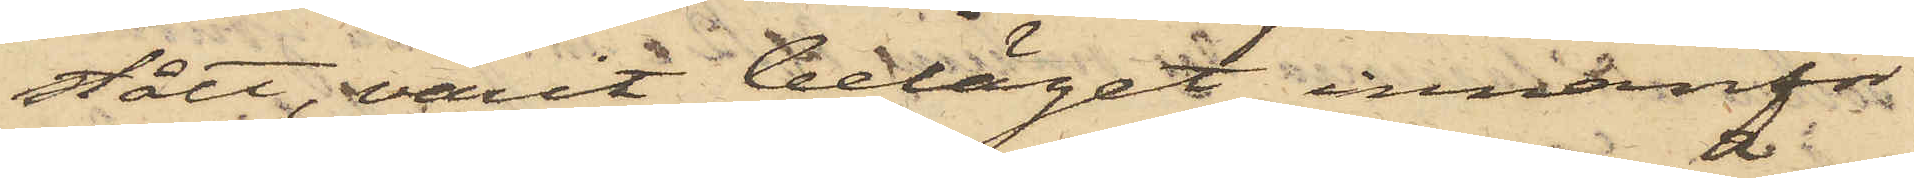stått, varit beläget innanför
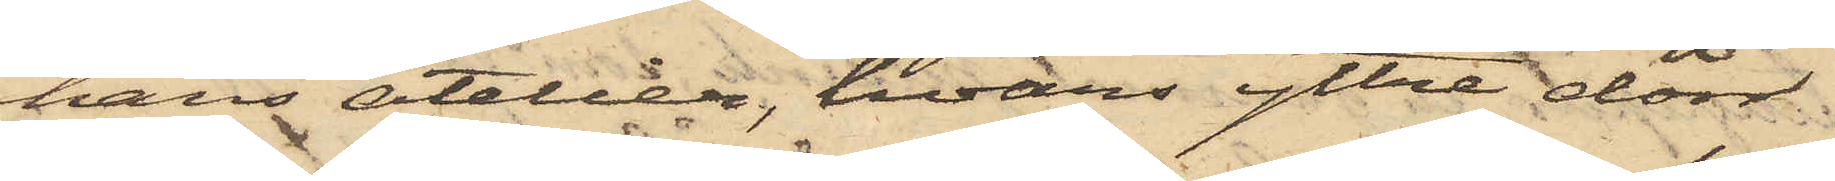hans atelier, hvars yttre dörr
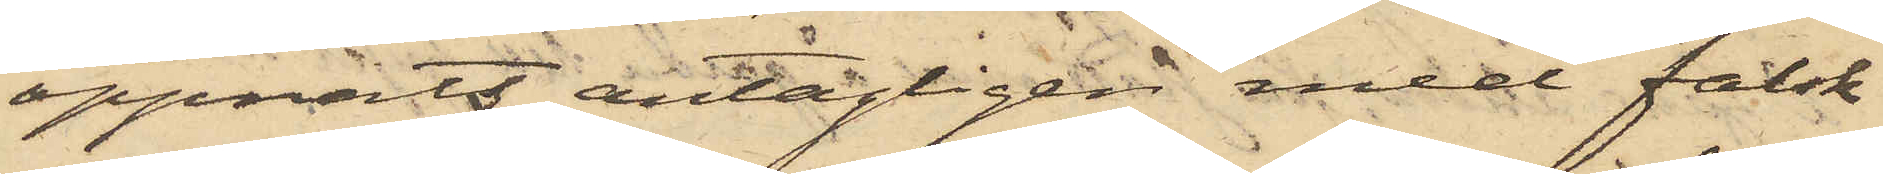öppnats antagligen med falsk
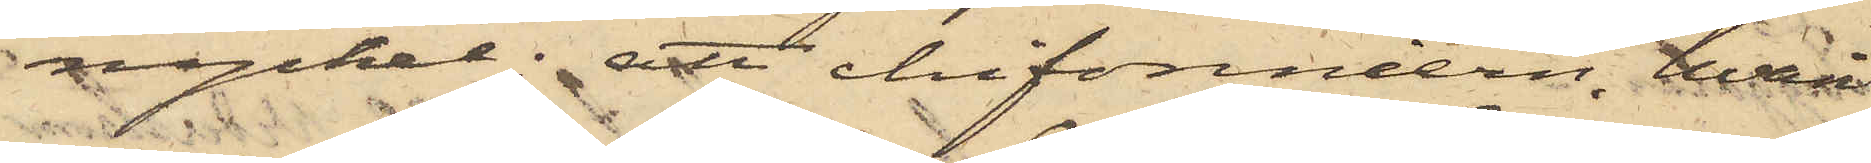nyckel; att chifonniern, hvari
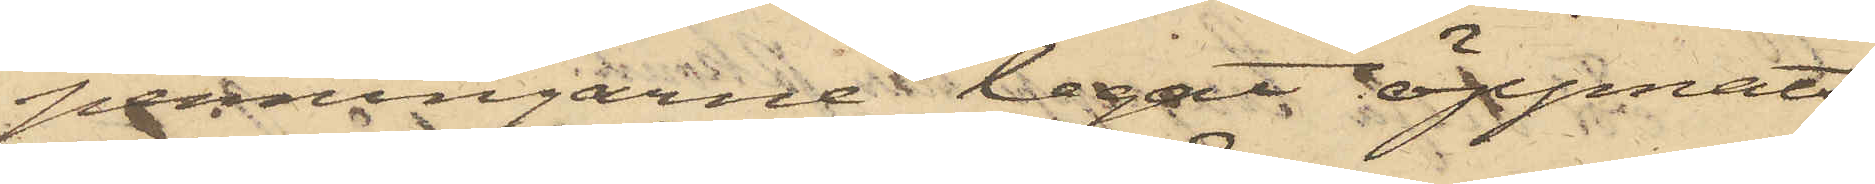penningarne legat öppnats
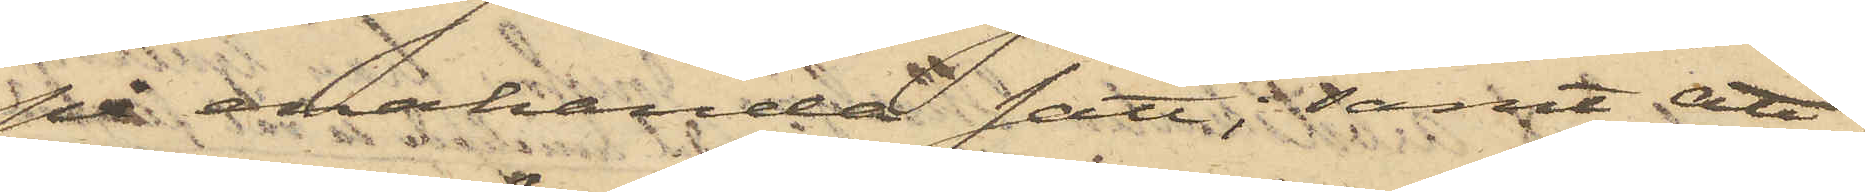på enahanda sätt; samt att
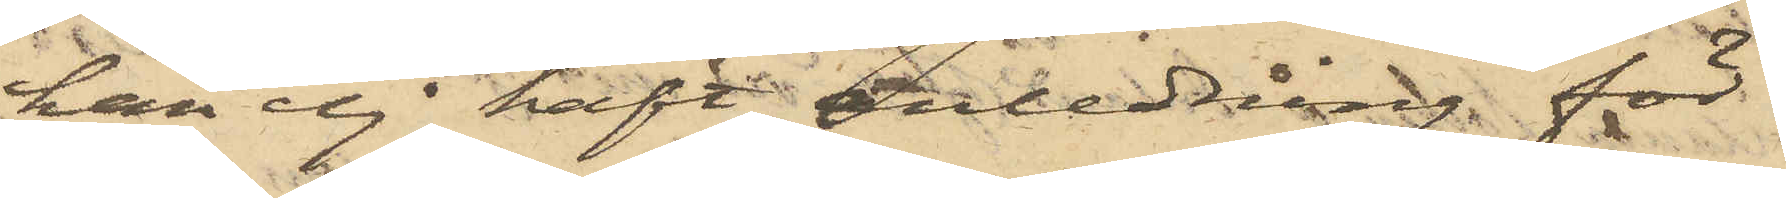han ej haft anledning för
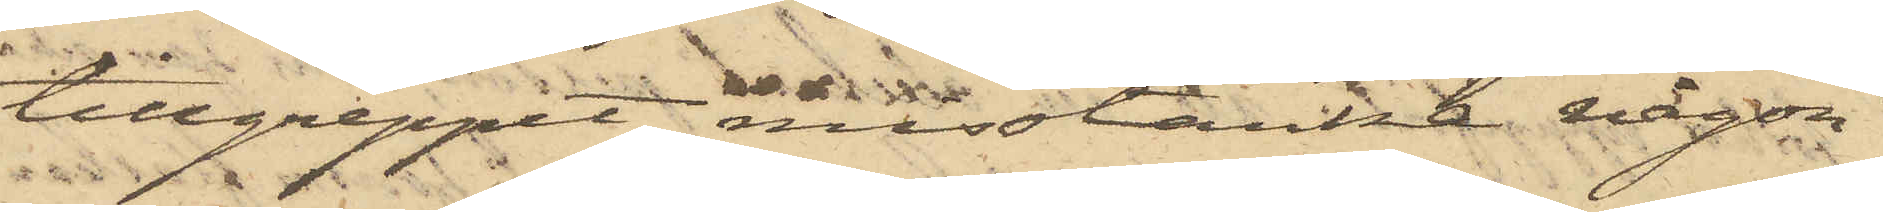tillgreppet misstänka någon
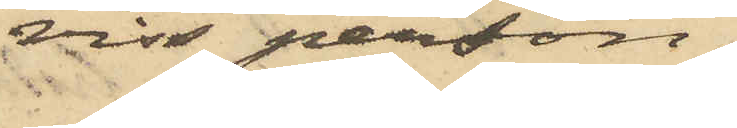viss person.
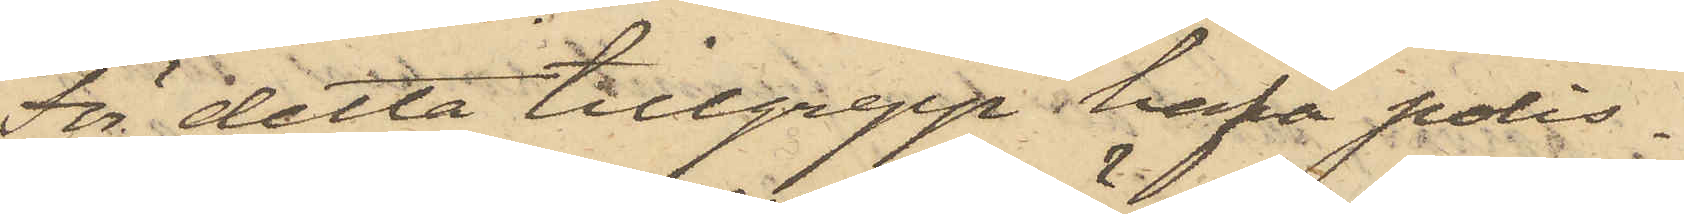För detta tillgrepp hafva polis¬
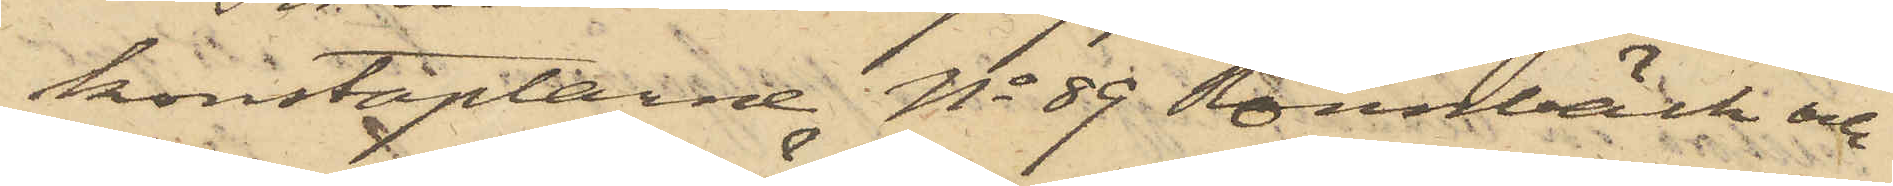konstaplarne No 89 Rönnbäck och
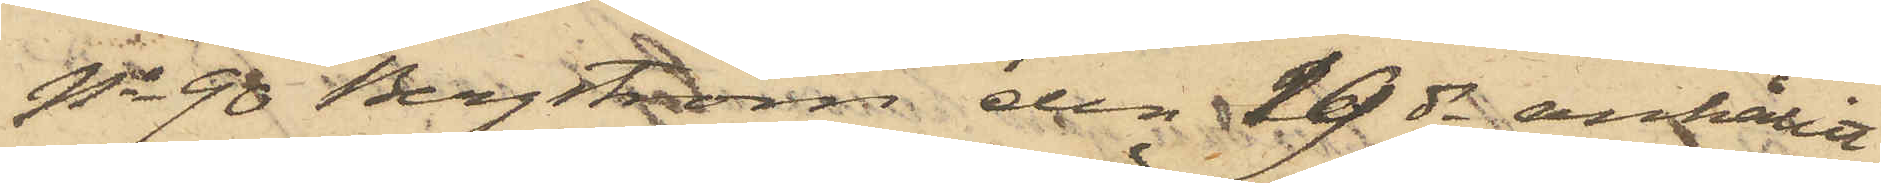No 90 Bergström den 19 ds anhållit
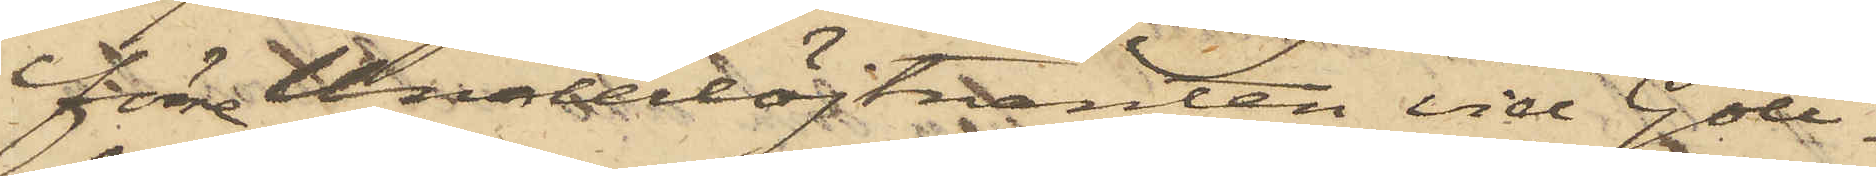förre Underlöjtnanten vid Gott¬
